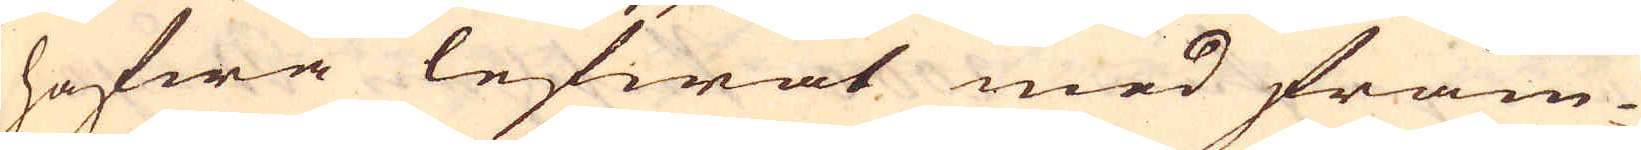hafwa lefwat med främ-
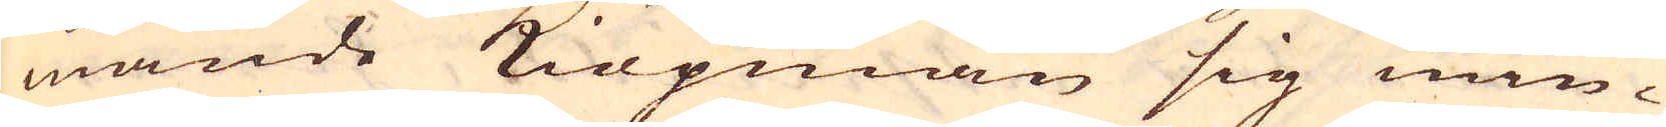mande Kiöpmän sig min-
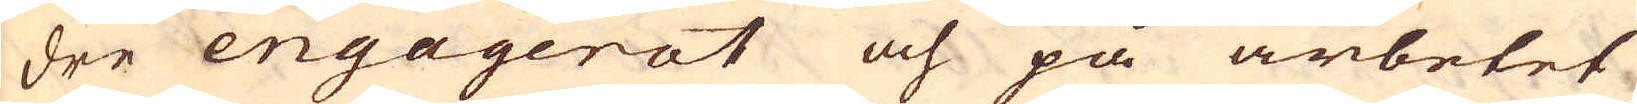dre engagerat och på arbetet
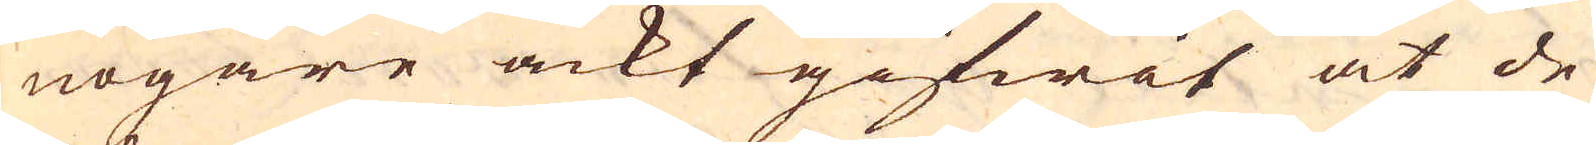nogare ackt gifwit at de
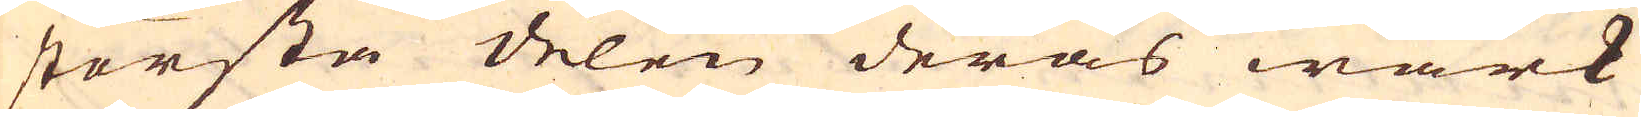största delen deras wärk
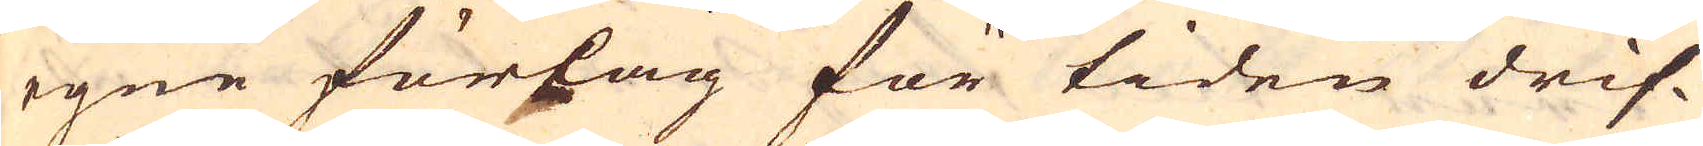egne förslag för tiden drif-
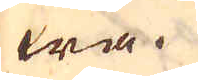wa.
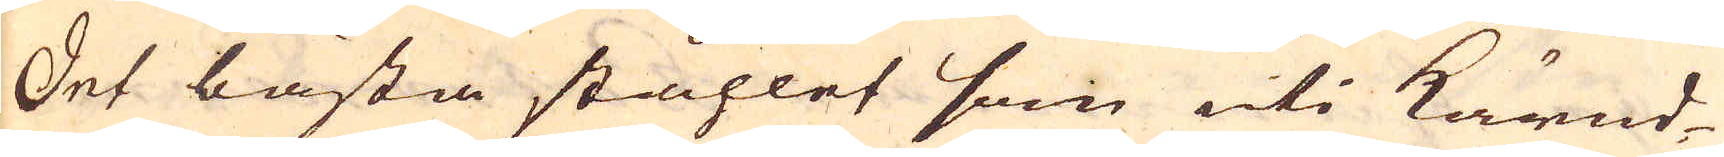Det bästa ståhlet som uti kärnd-
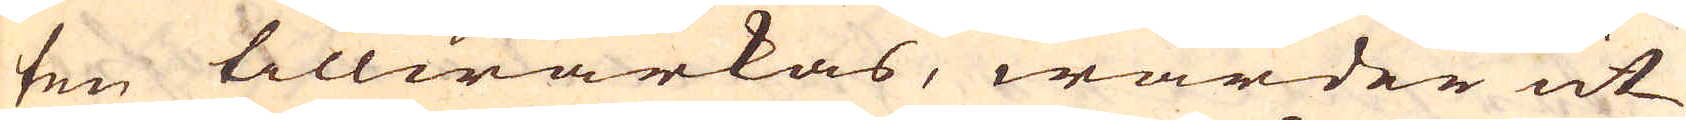ten tillwärkas, warder ut
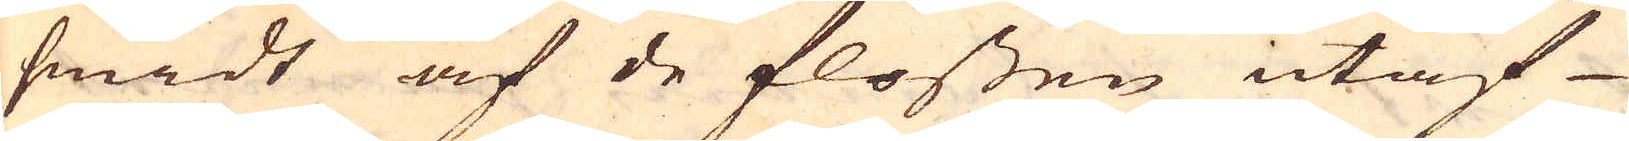smidt af de flossen utaf
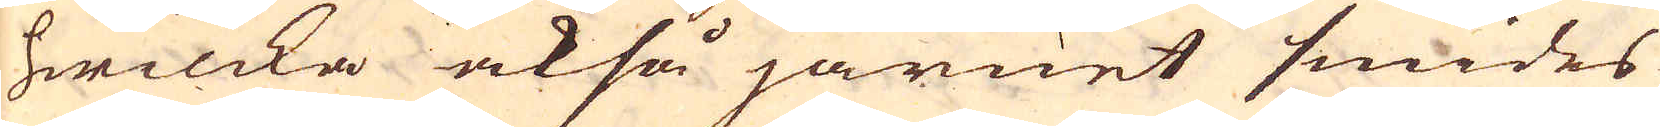hwilcka också järnet smides
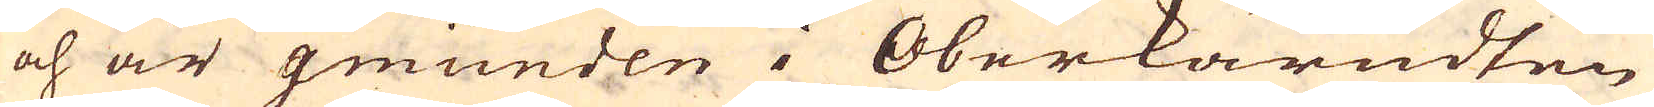och är gmünden i Oberkärndten
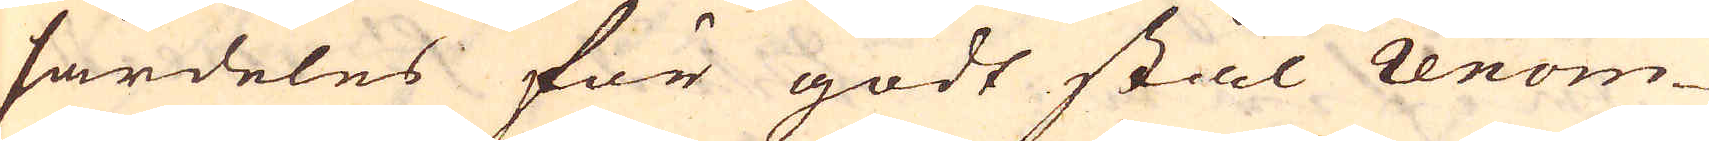särdeles för godt stål renom-
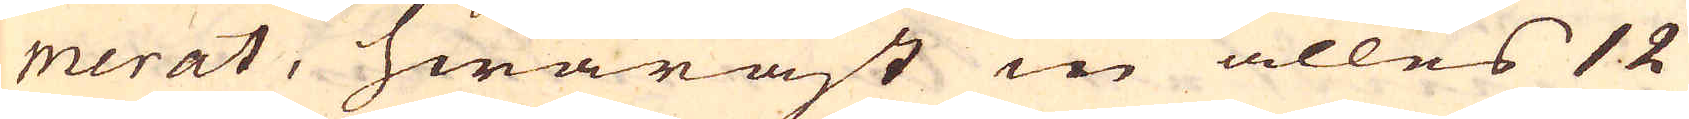merat, hwaräst in alles 12
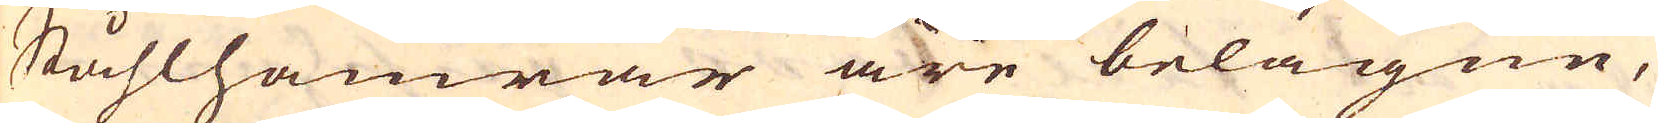Ståhlhamrar äre belägne,
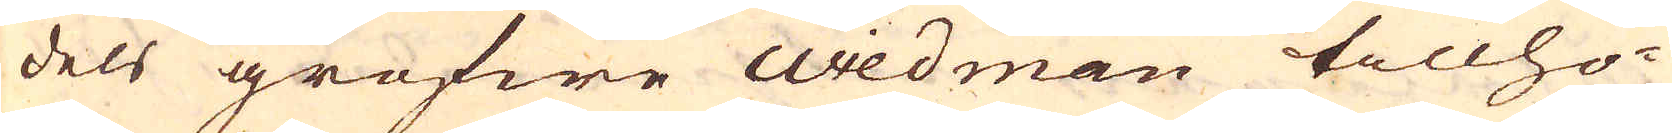dels grefwe wiedman tillhö-
